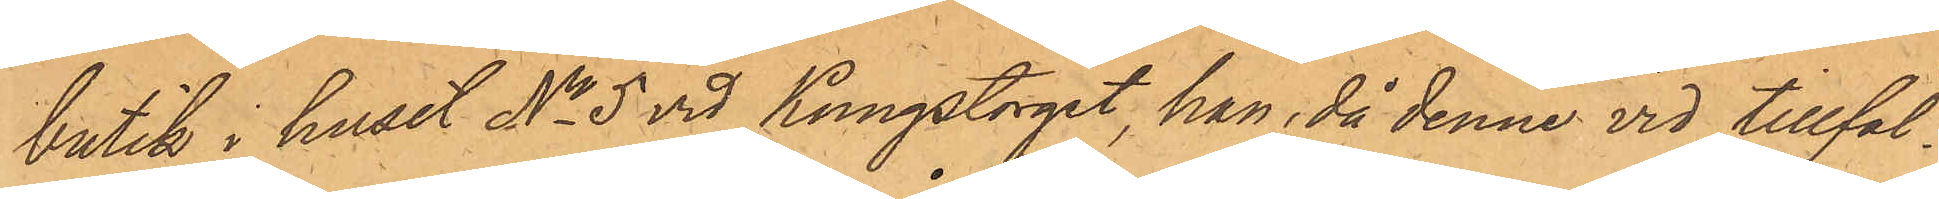butik i huset No 5 vid Kungstorget, han, då denne vid tillfäl¬
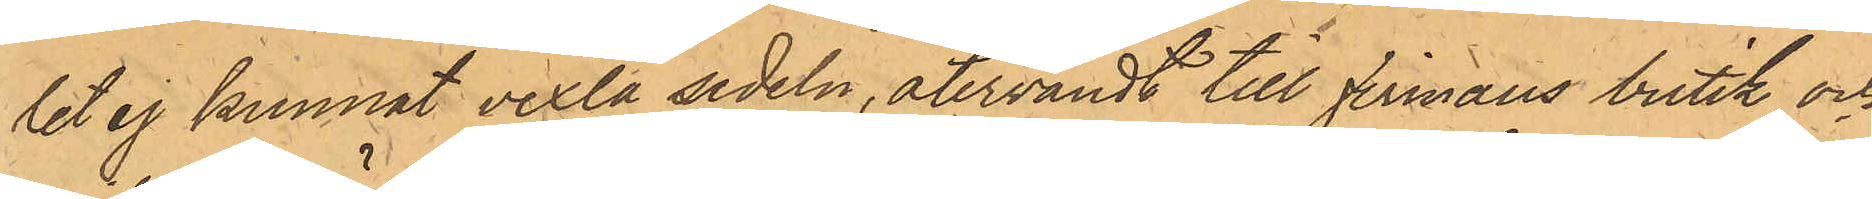lit ej kunnat vexla sedeln, återvändt till firmans butik och
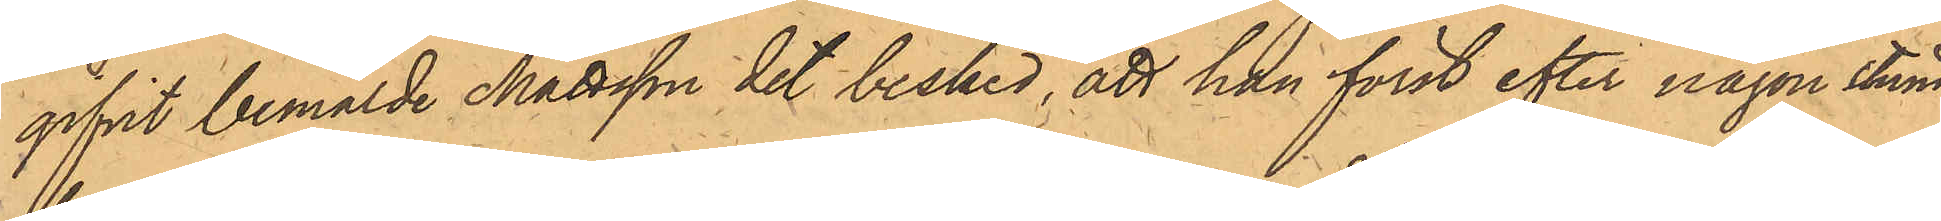gifvit bemälde Mattsson det besked, att han först efter någon stund
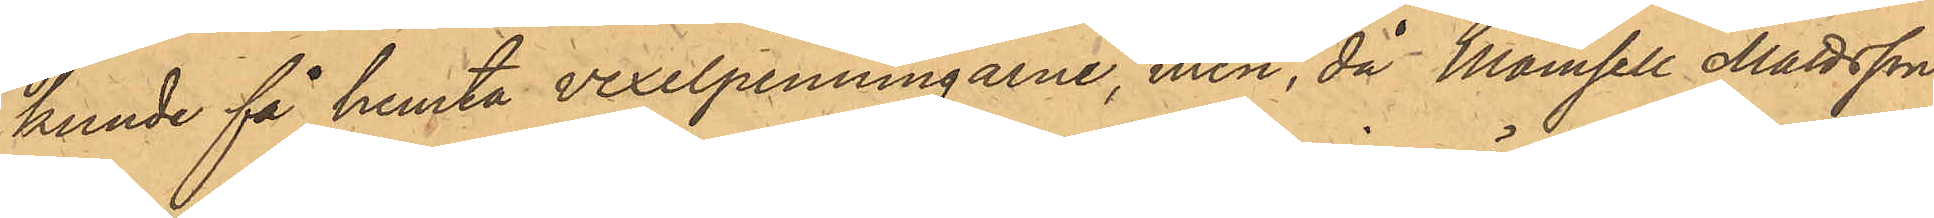kunde få hemta vexelpenningarne, men, då Mamsell Mattsson
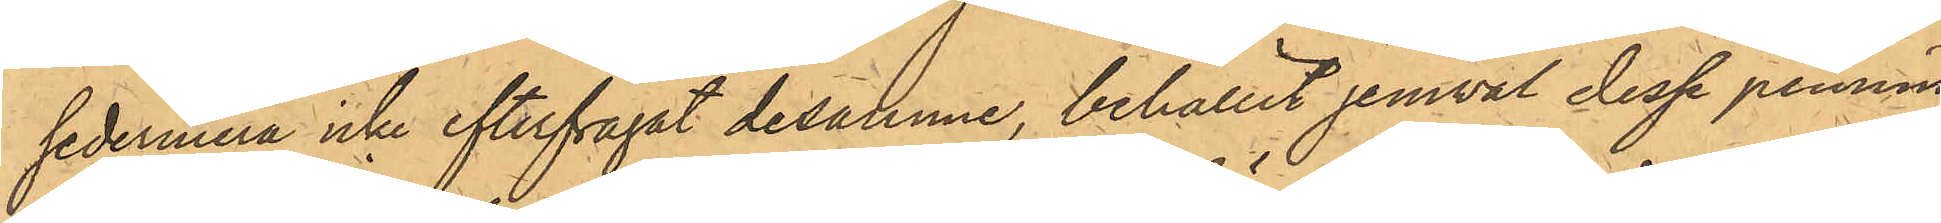sedermera icke efterfrågat desamme, behållit jemväl desse pennin¬
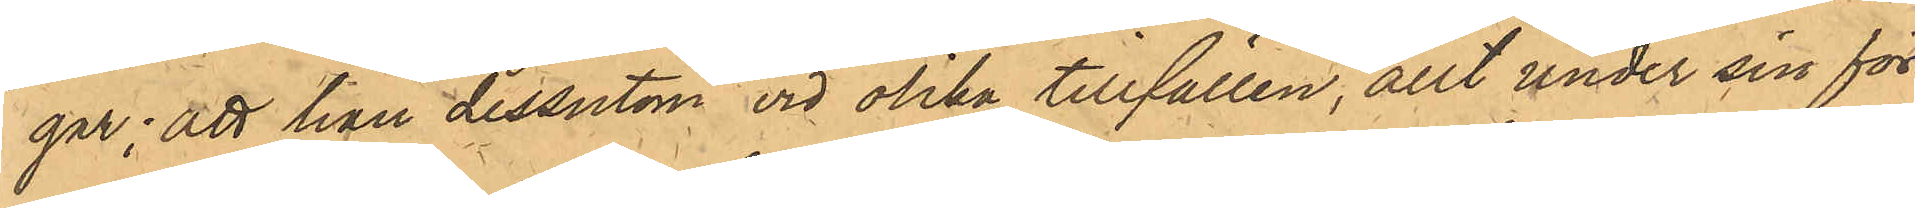gar; att han dessutom vid olika tillfällen, allt under sin för¬
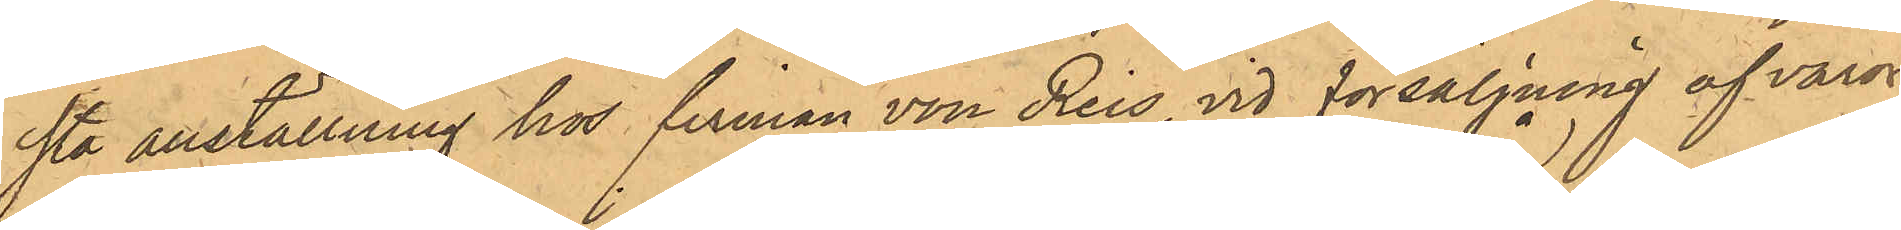sta anställning hos firman von Reis, vid försäljning af varor
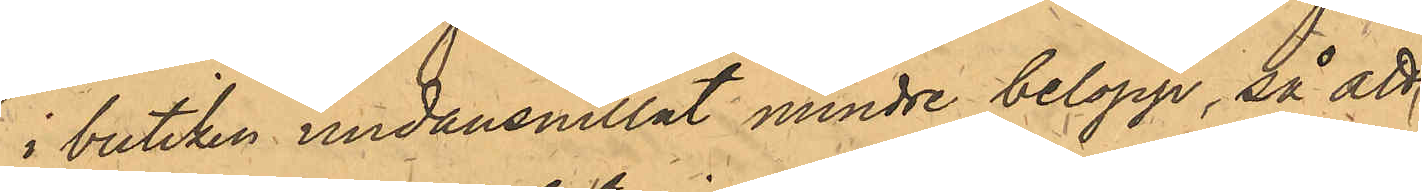i butiken undansnillat mindre belopp, så att
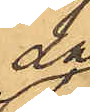då
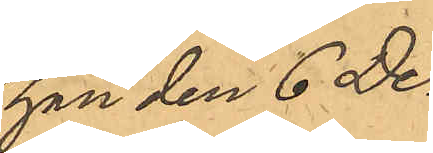han den 6 De¬
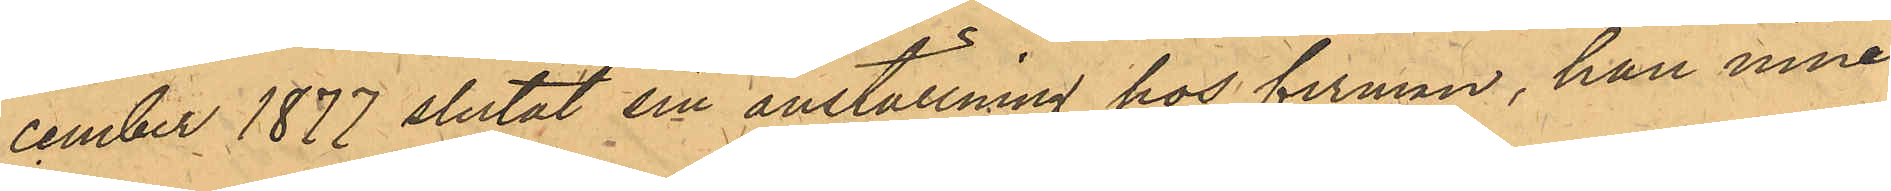cember 1877 slutat sin anställning hos firman, han inne¬
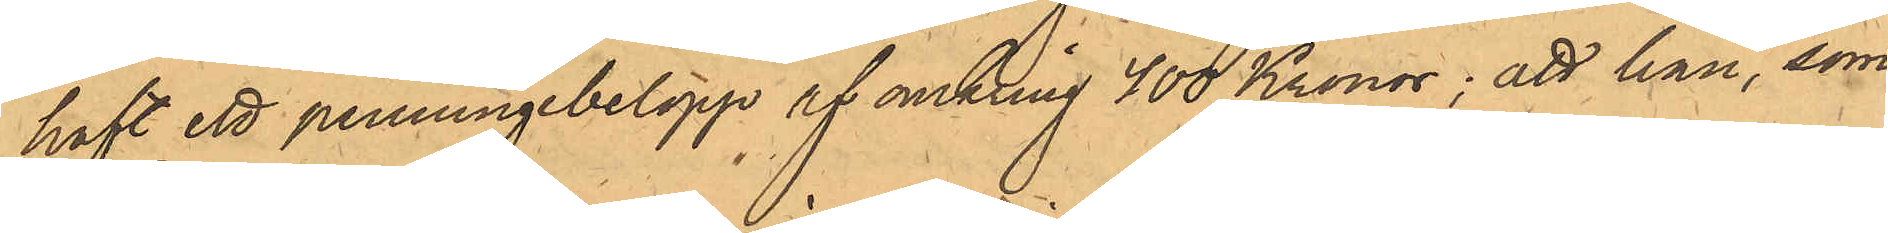haft ett penningbelopp af omkring 400 Kronor; att han, som
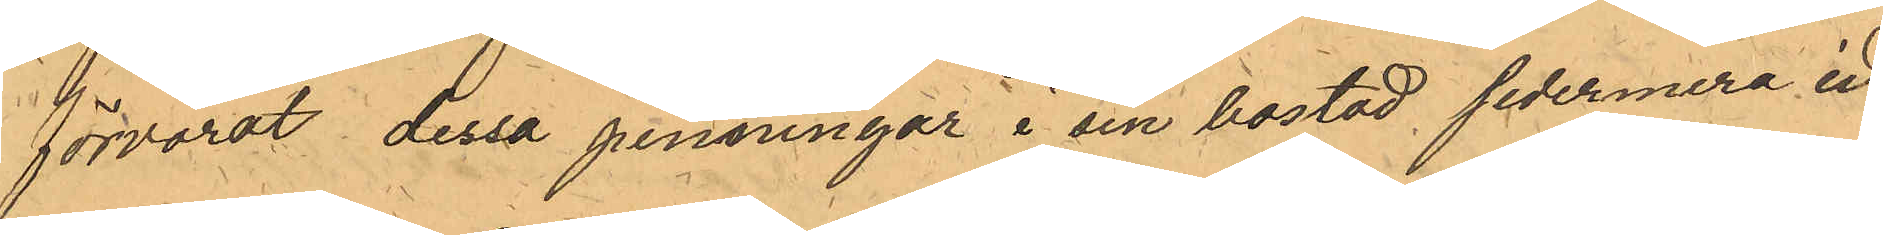förvarat dessa penningar i sin bostad sedermera in¬
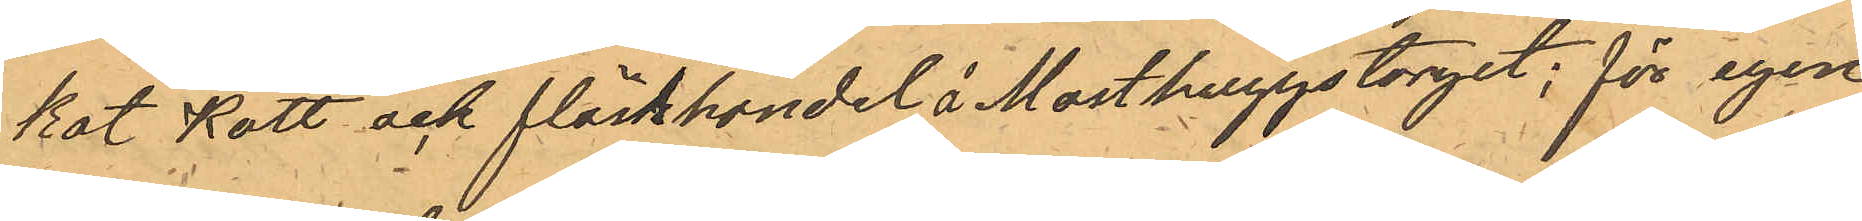kat Kött och fläskhandel å Masthuggstorget; för egen
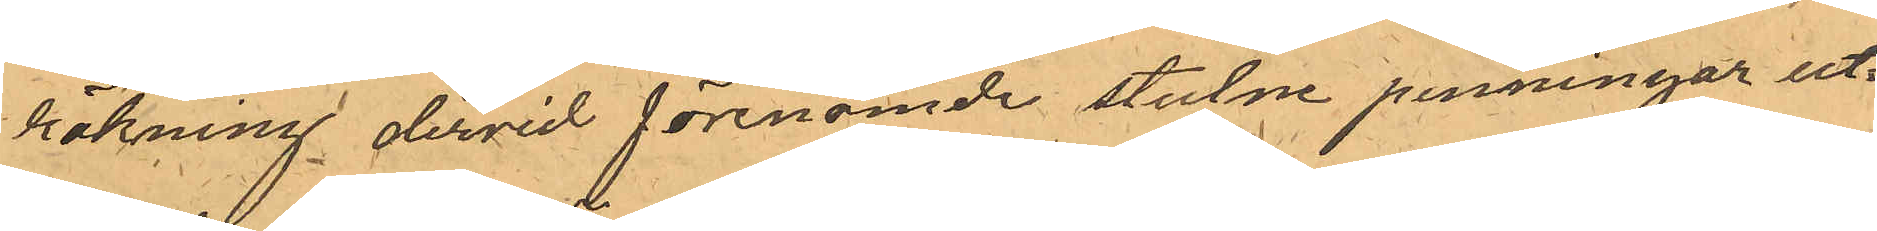räkning dervid förenämde stulne penningar ut¬
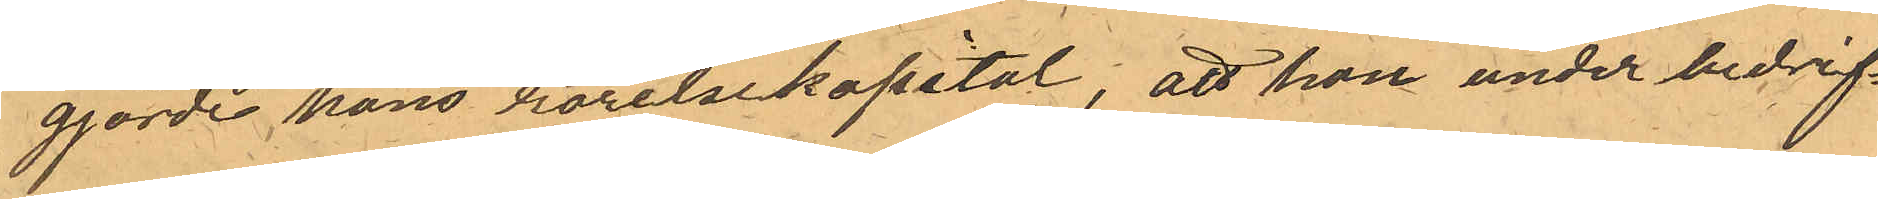gjorde hans rörelsekapital; att han under bedrif¬
